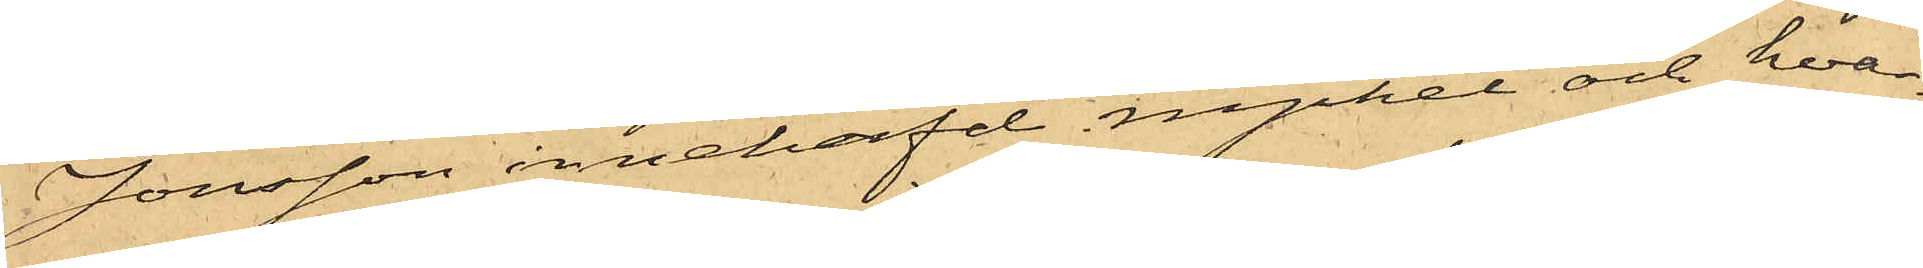Jonsson innehafd nyckel och hvar¬
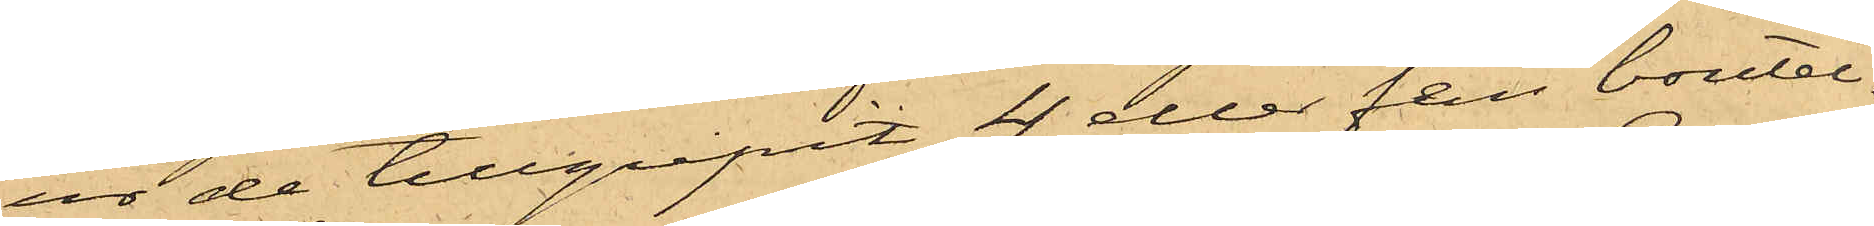ur de tillgripit 4 eller fem boutel¬
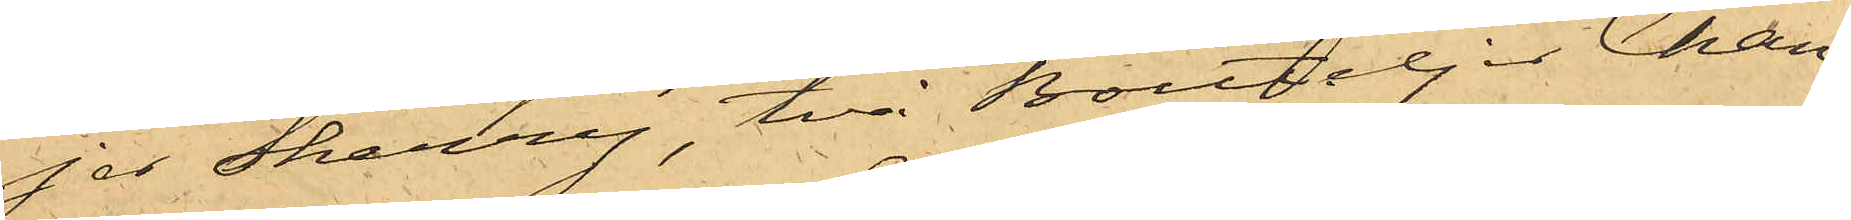jer Sherry, två Bouteljer Cham¬
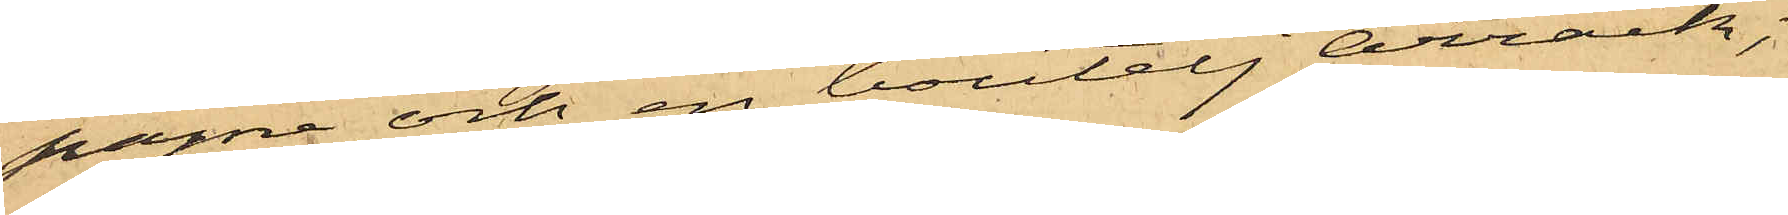pagne och en boutelj arrack;
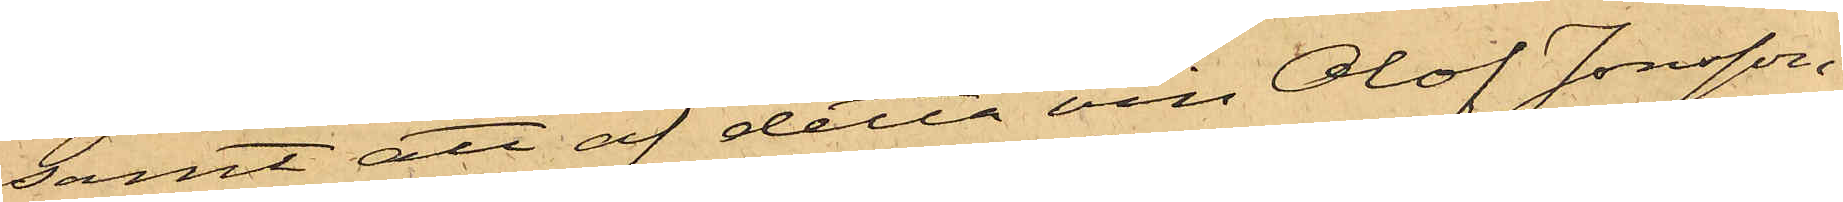samt att af detta vin Olof Jonsson,
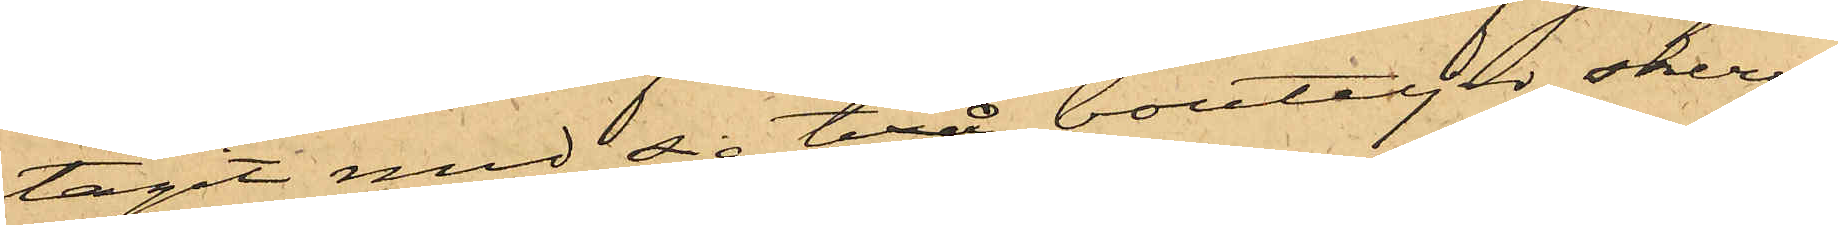tagit med sig två bouteljer sherry,
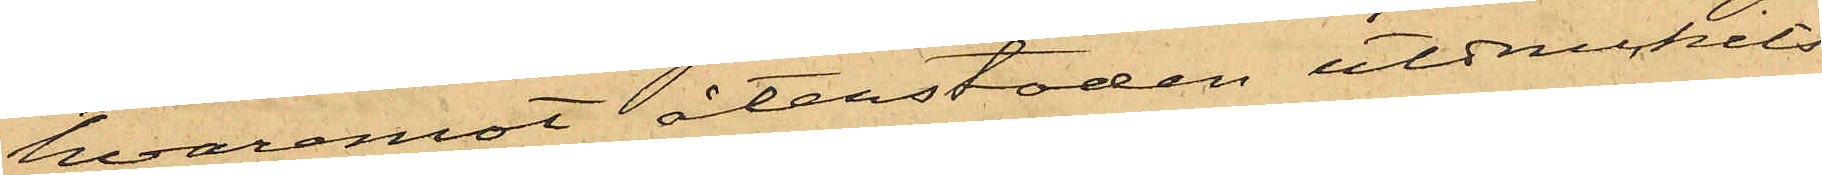hvaremot återstoden utdruckits
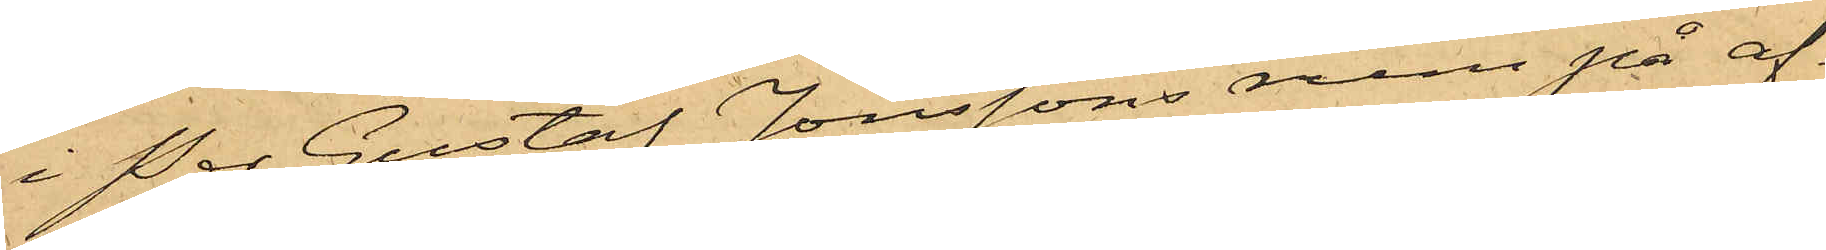i Per Gustaf Jonssons rum på af¬
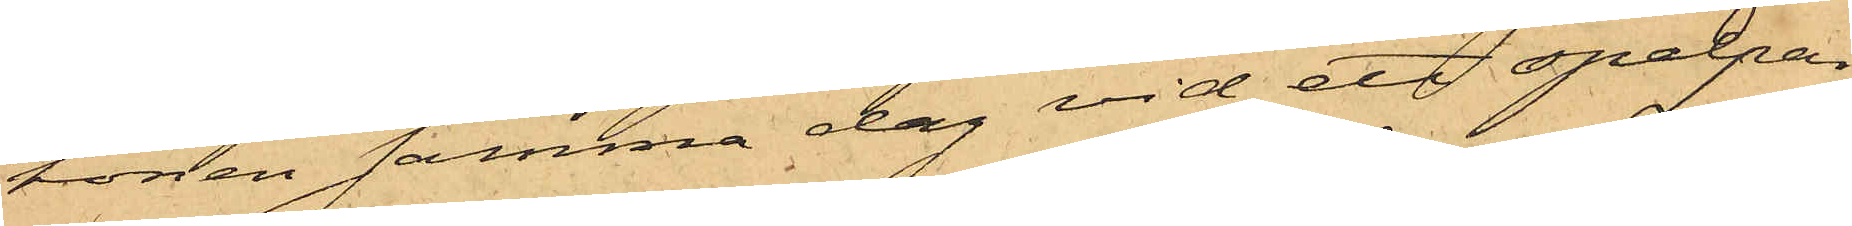tonen samma dag vid ett spelpar¬
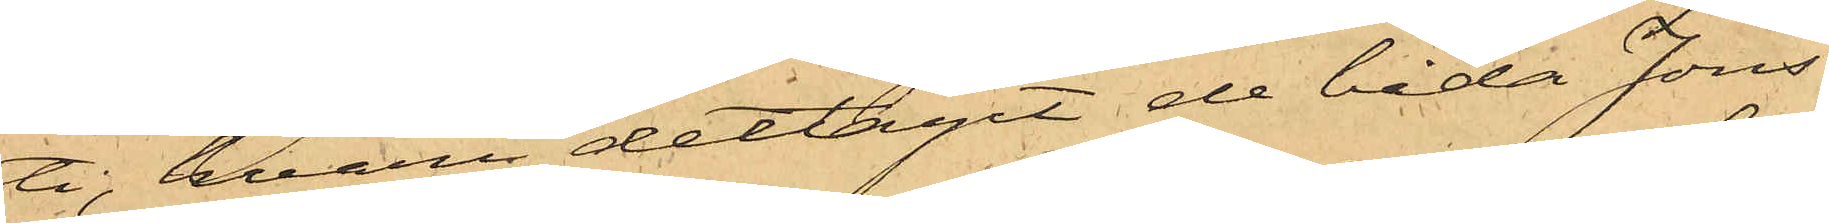ti; hvari deltagit de båda Jons¬
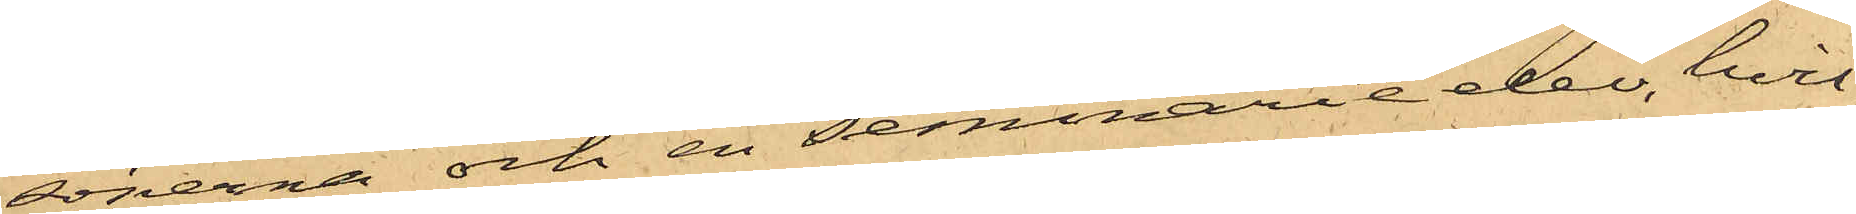sönerna och en seminarieelev, hvil¬
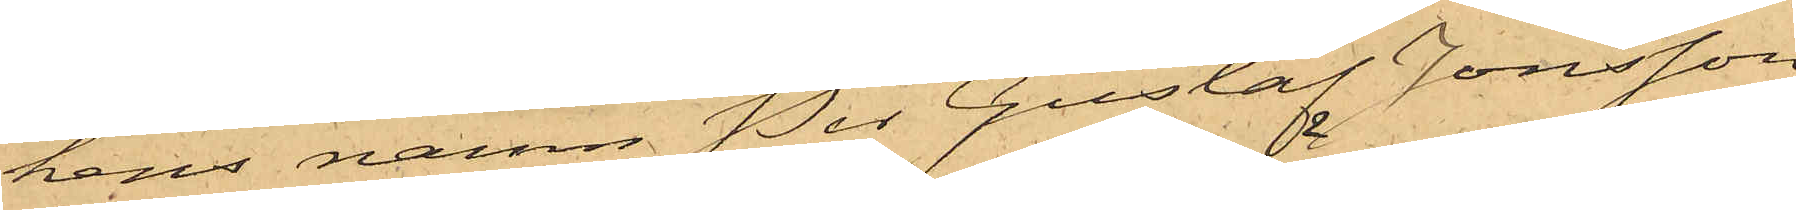kens namn Per Gustaf Jonsson
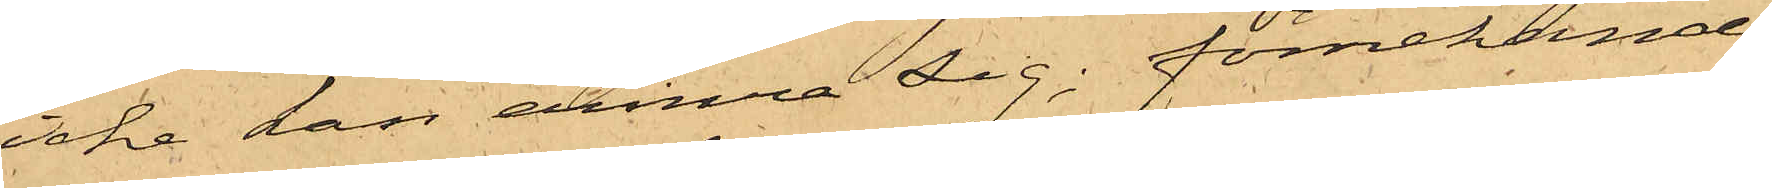icke han erinra sig; förnekande
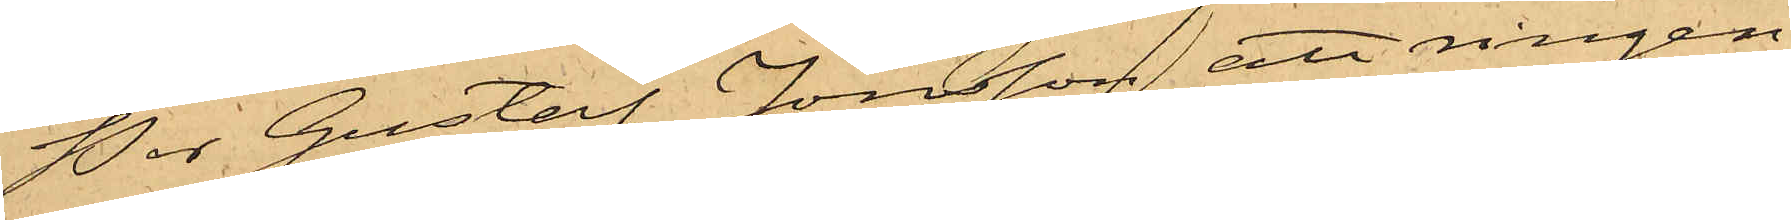Per Gustaf Jonsson att ringen
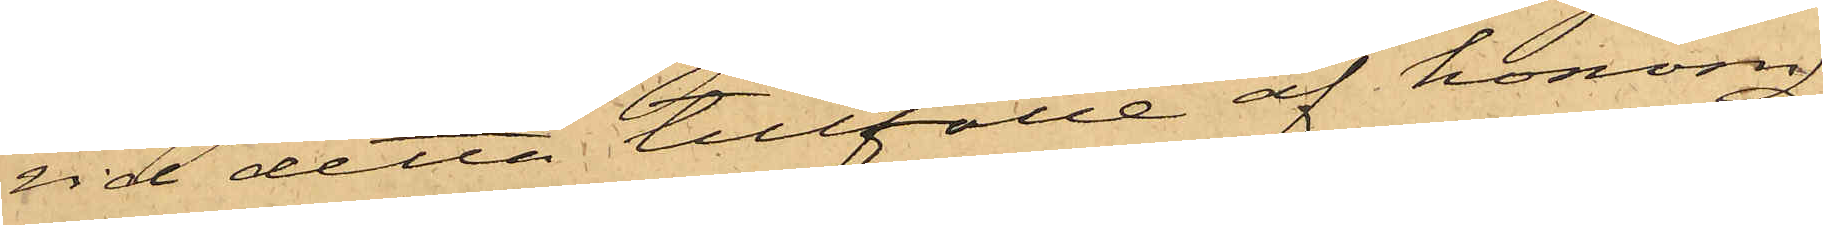vid detta tillfälle af honom
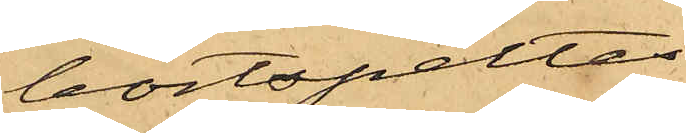bortspelats.
